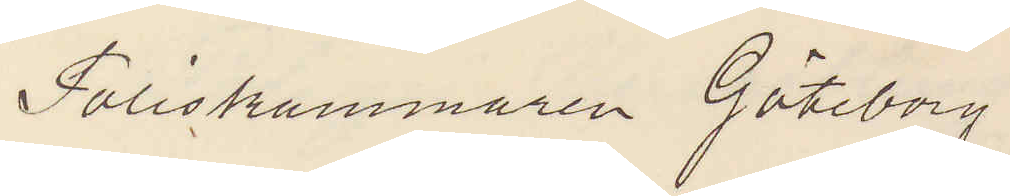Poliskammaren Göteborg.
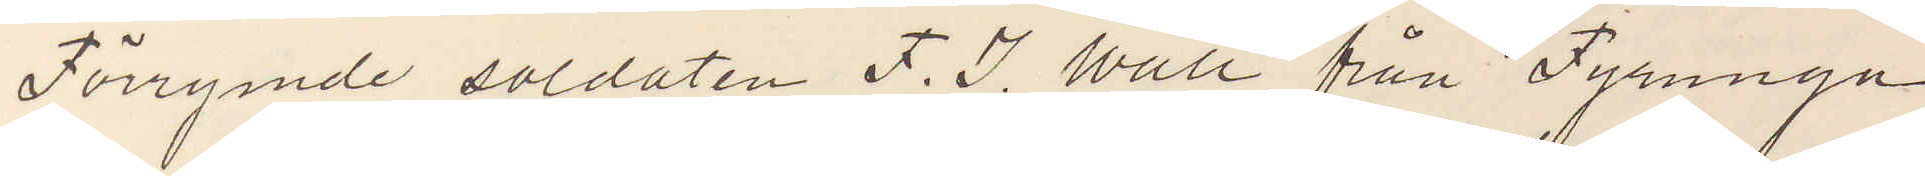Förrymde soldaten F. J. Wall från Fyrunga
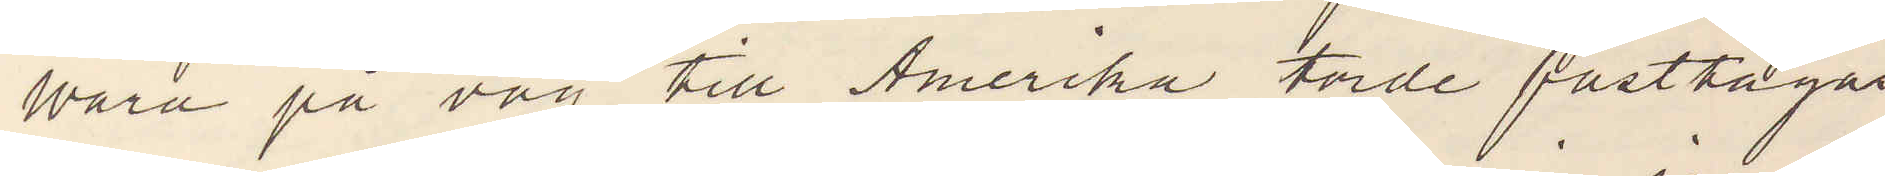Wara på väg till Amerika torde fasttagas
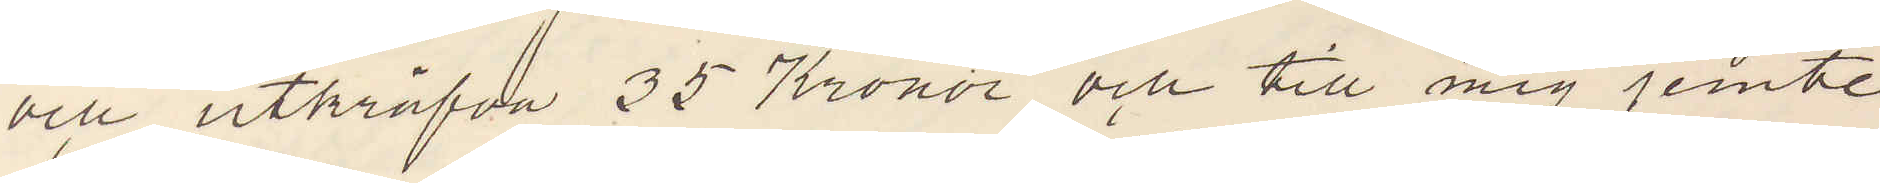och utkräfva 35 Kronor och till mig jemte
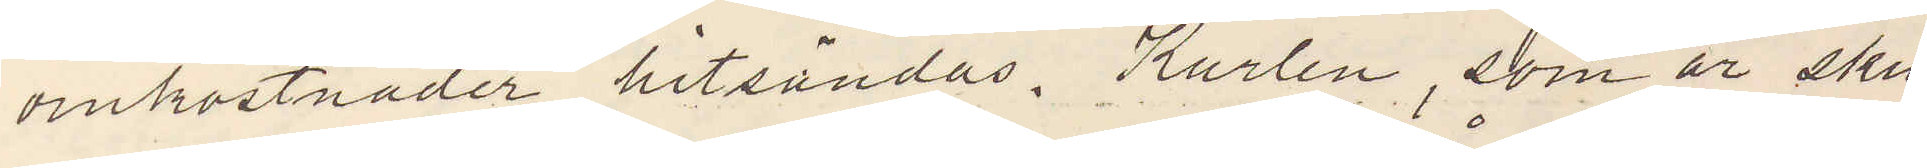omkostnader hitsändas. Karlen, som är sku¬
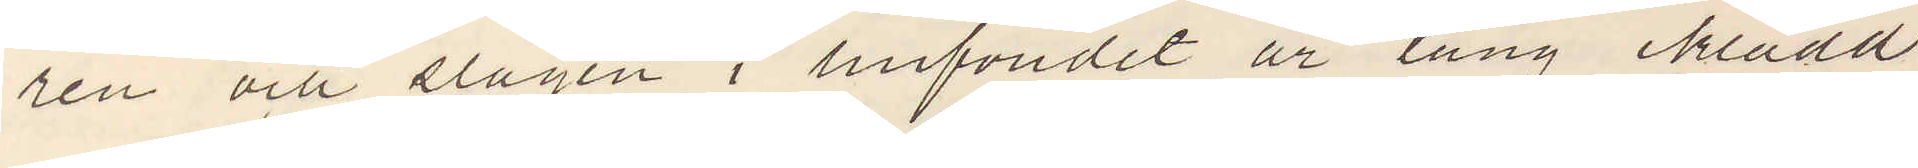ren och slagen i hufvudet är lång iklädd
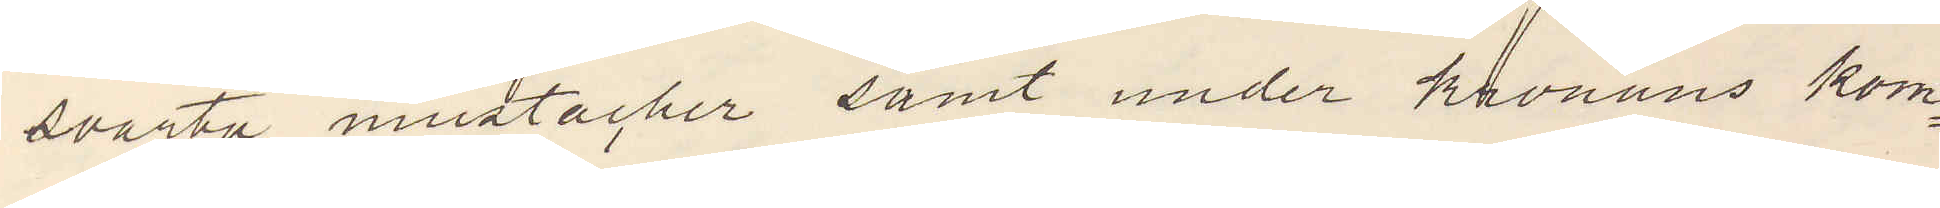svarta mustacher samt under Kronans kom¬
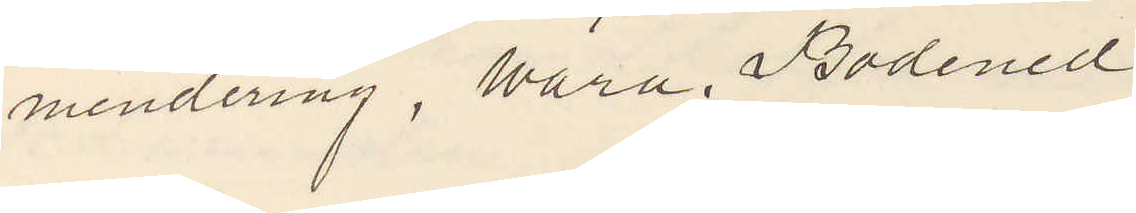mendering. Wara. Bodened.
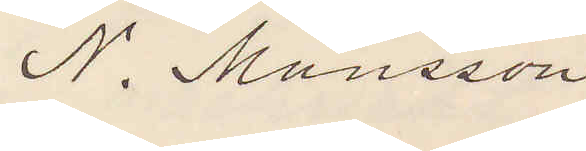N. Månsson
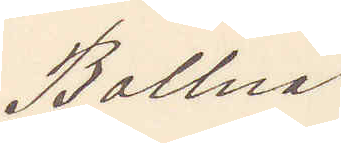Bollnä
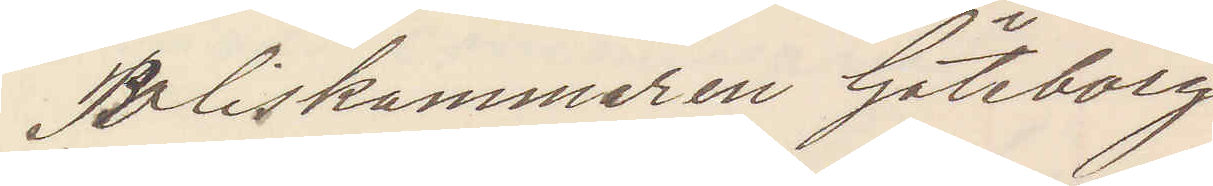Poliskammaren Göteborg
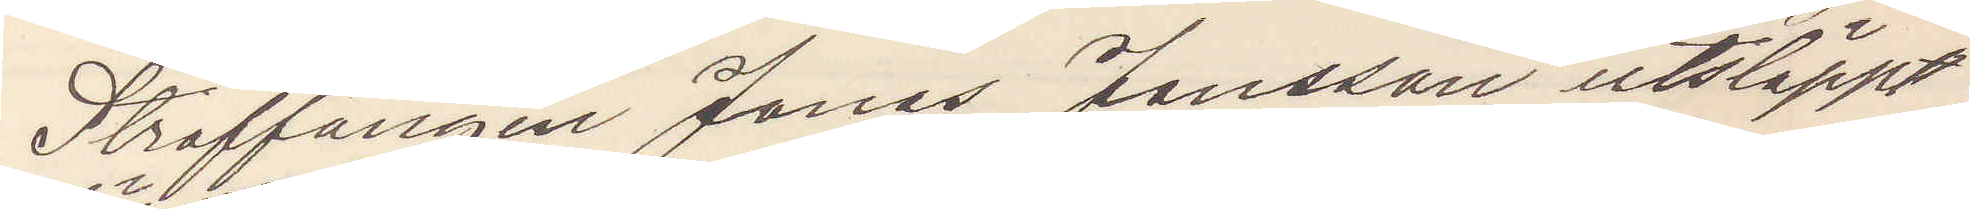Straffången Jonas Johansson utsläppt
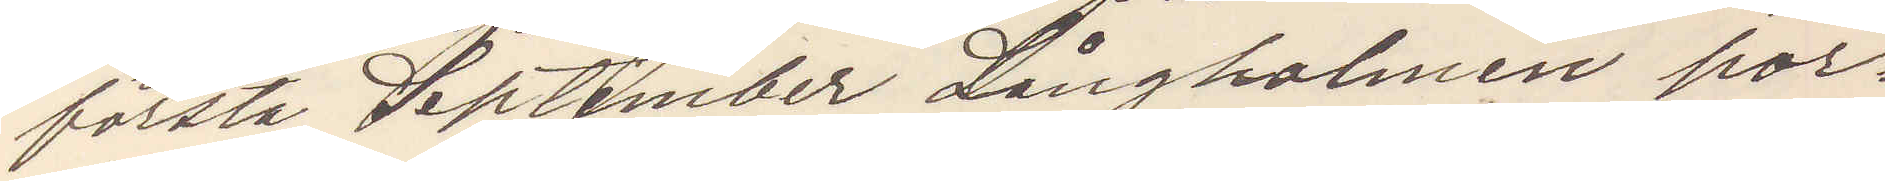första September Långholmen por¬
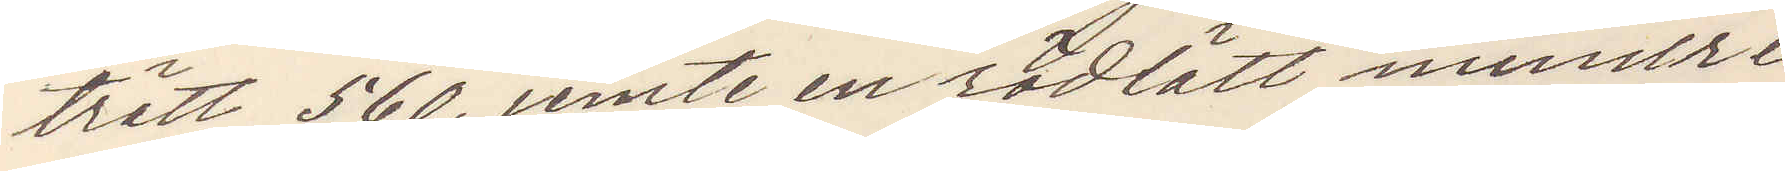trätt 560, jemte en rödlätt mindre
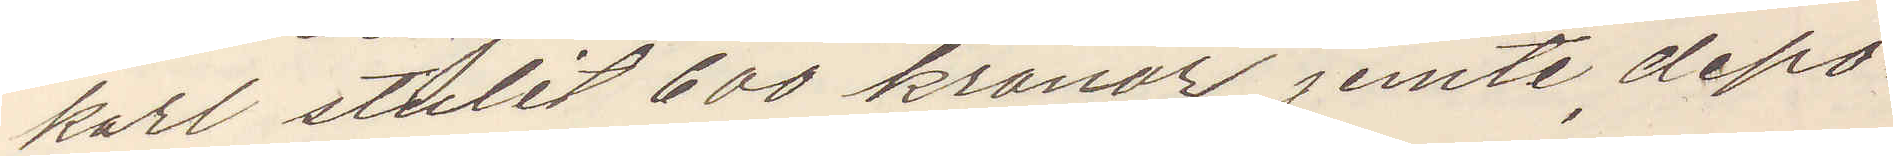karl stulit 600 kronor jemte depo¬
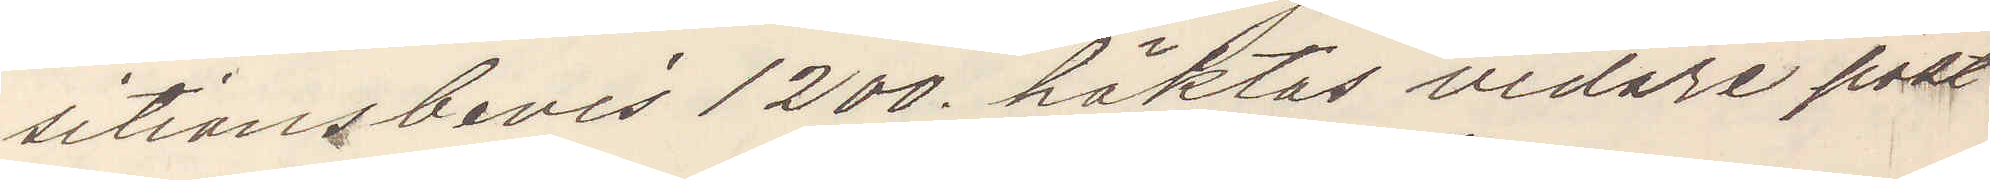sitionsbevis 1200. häktas vidare frakt
